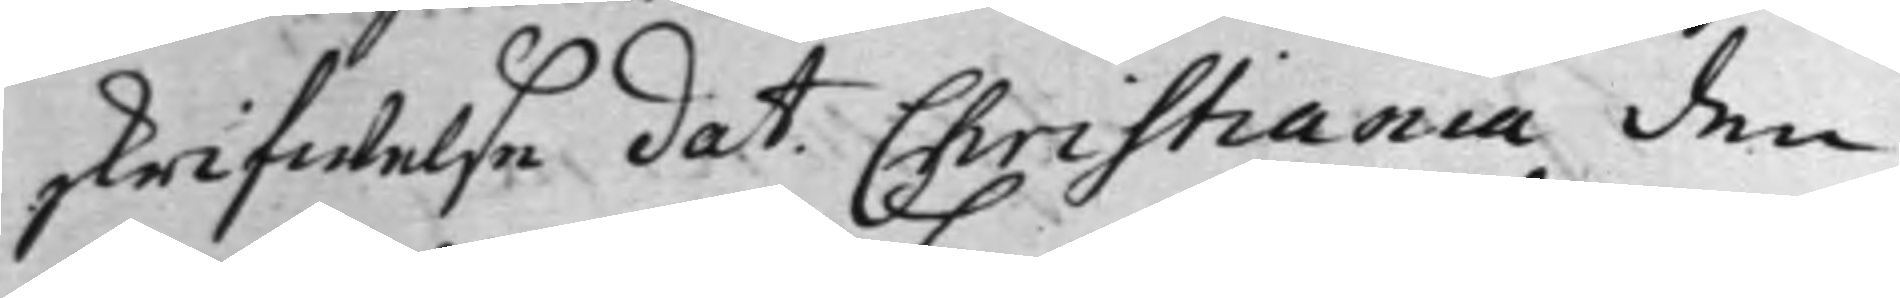skrifwelse dat. Christiania den
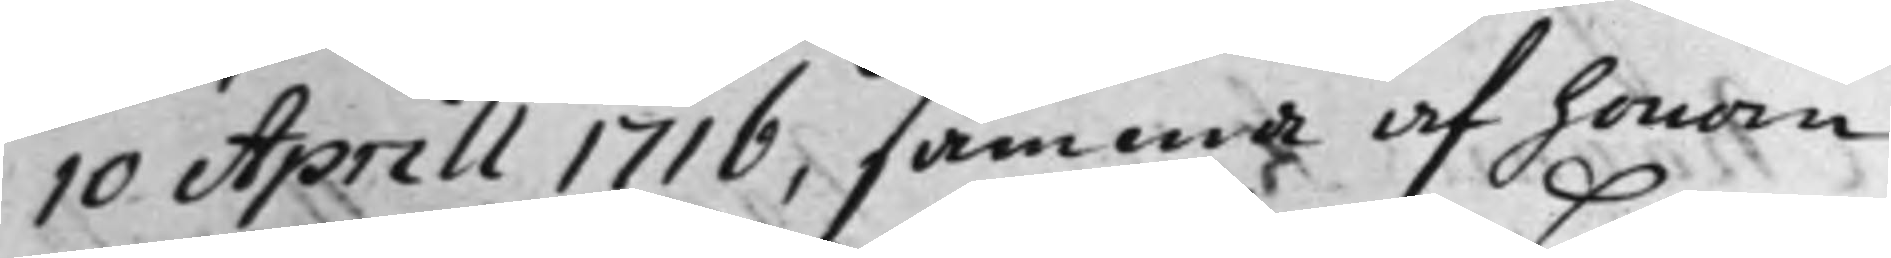10 Aprill 1716, samma af honom
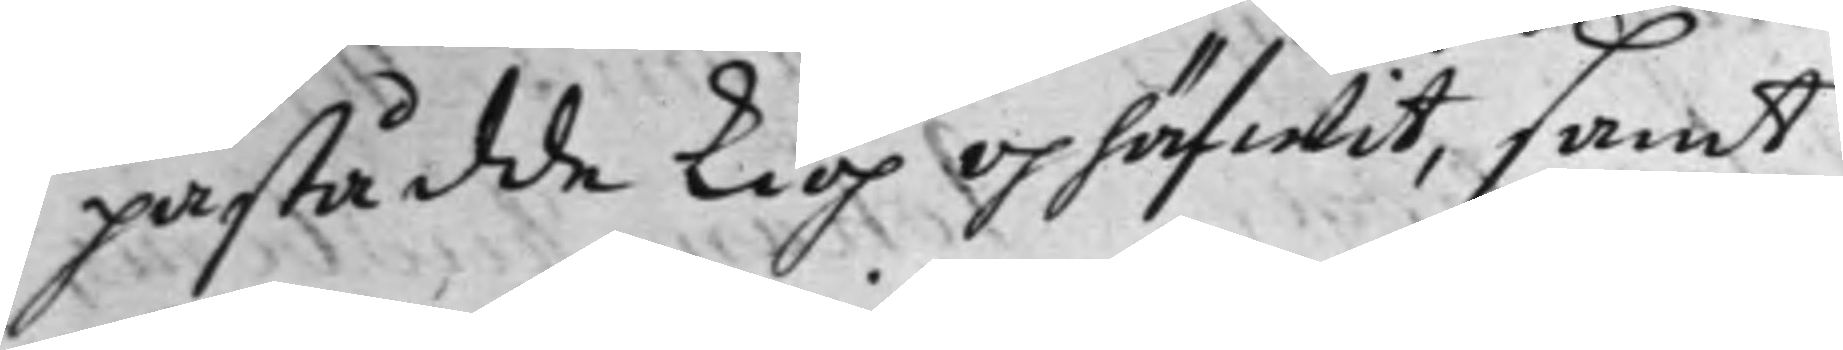påstådde kiöp ophäfwit, samt
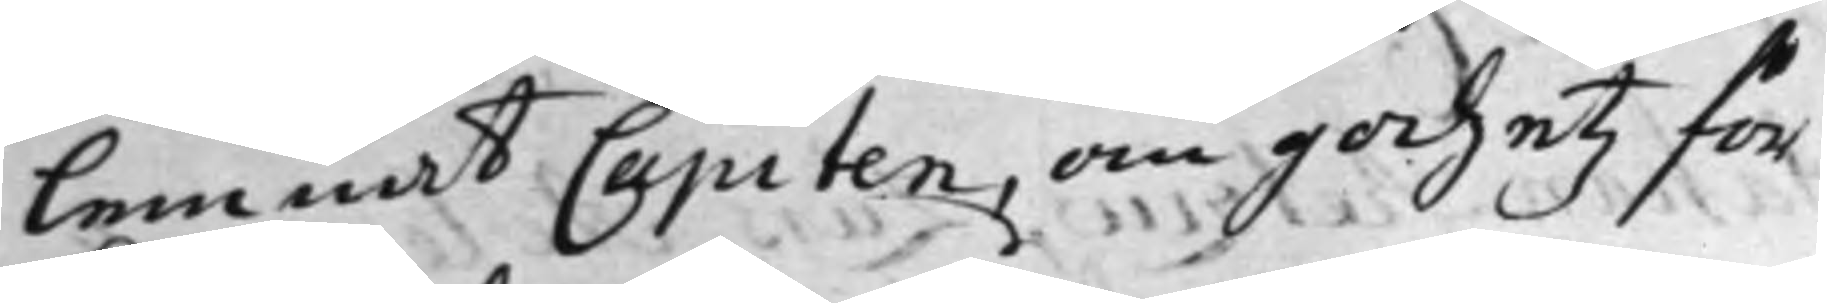lemnat Capiten, om godzetz för¬
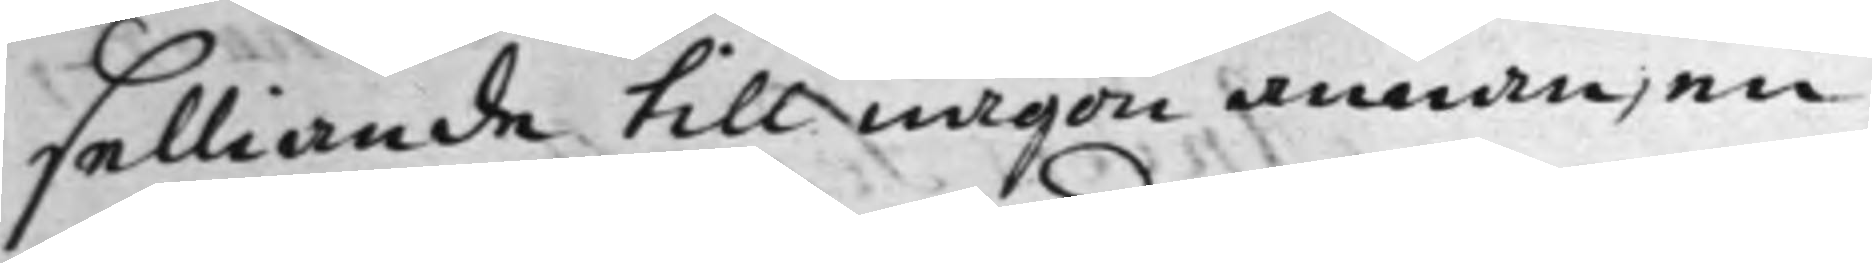selliande till någon annan, en
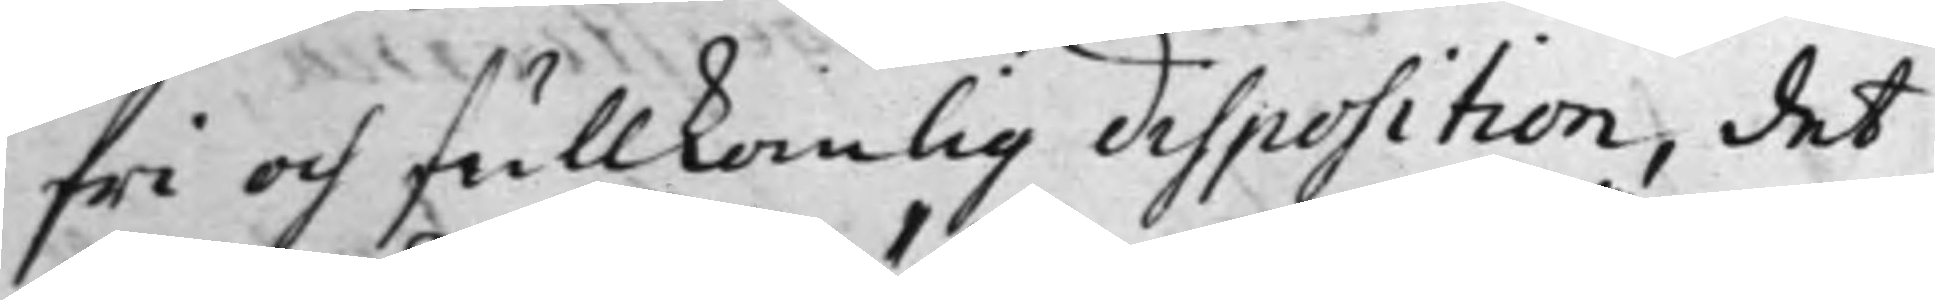fri och fullkomlig disposition, det
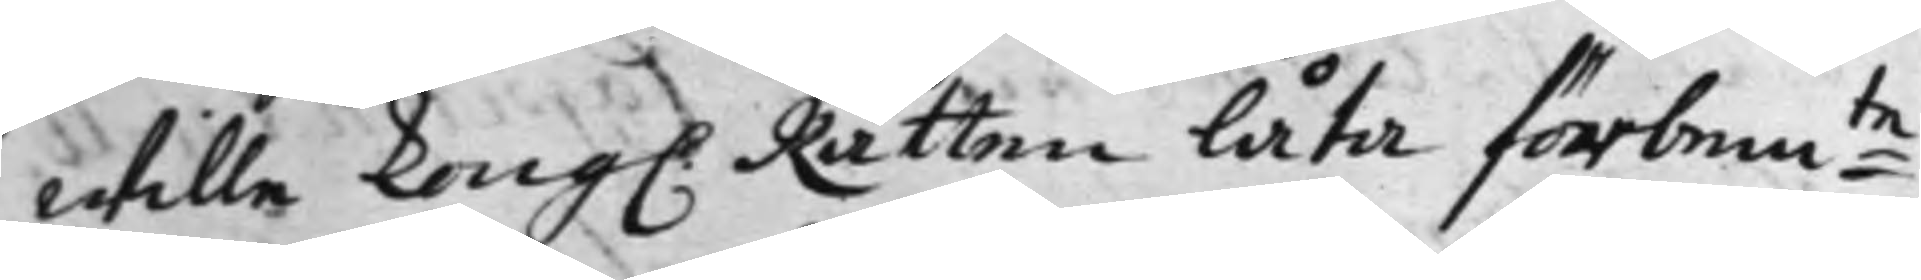wille Kong. Rätten låta förbem:te
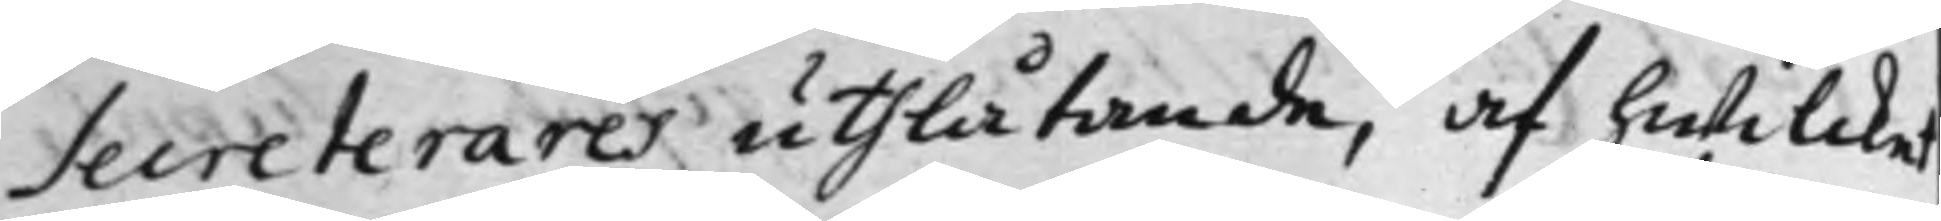Secreterares uthlåtande, af hwilcket
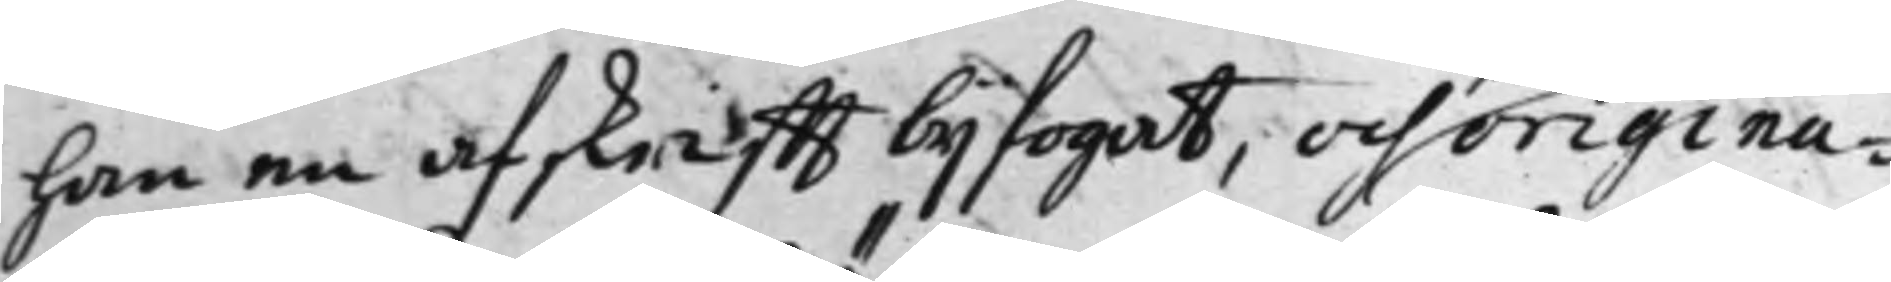han en afskrifft bijfogat, och origina¬
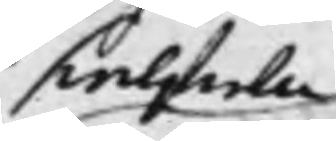sielfwa
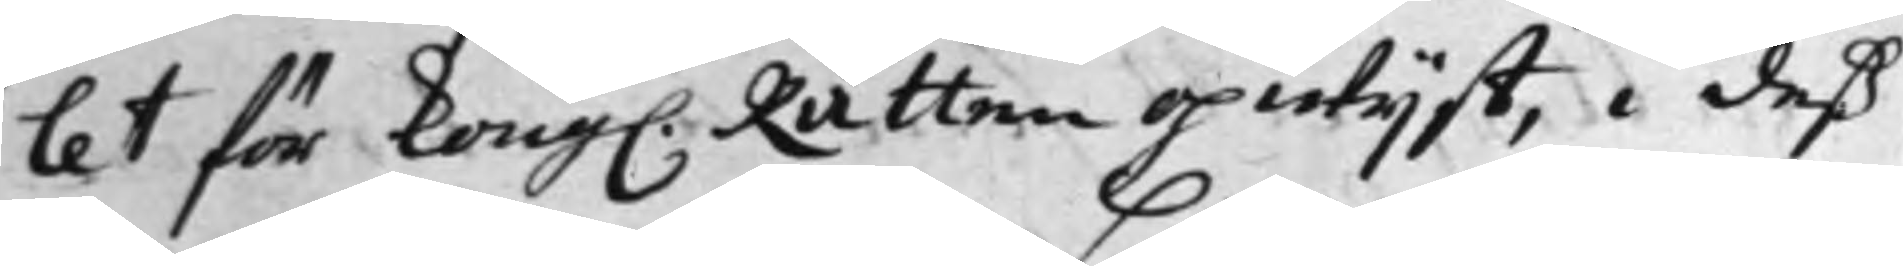let för Kong. Rätten opwijst, i deß
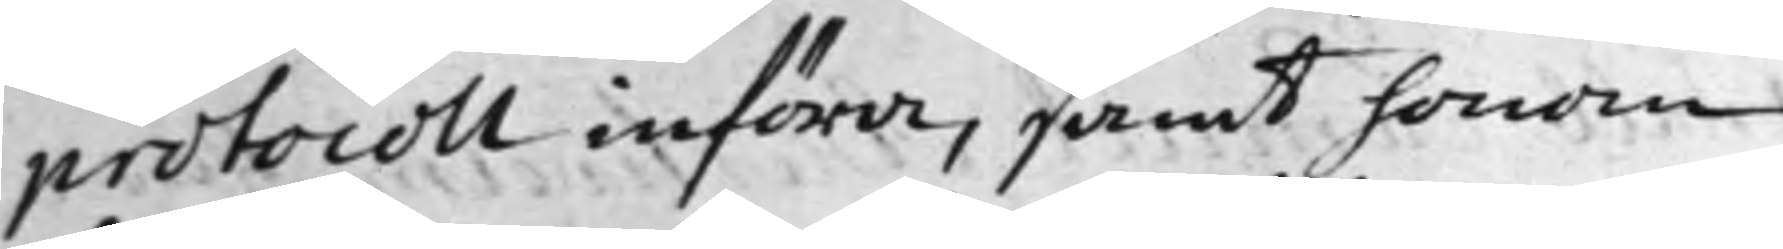protocoll införa, samt honom
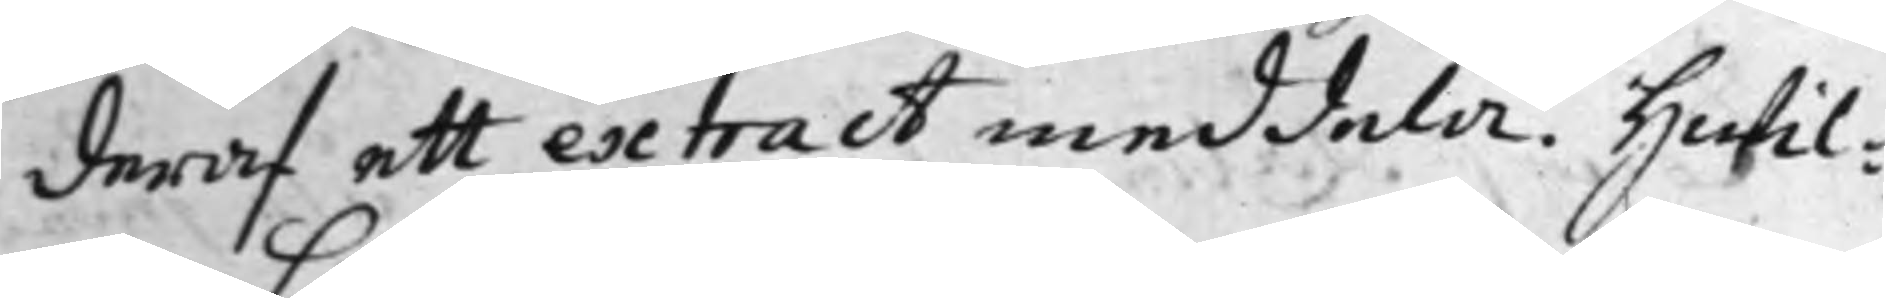deraf ett extract meddela. Hwil¬
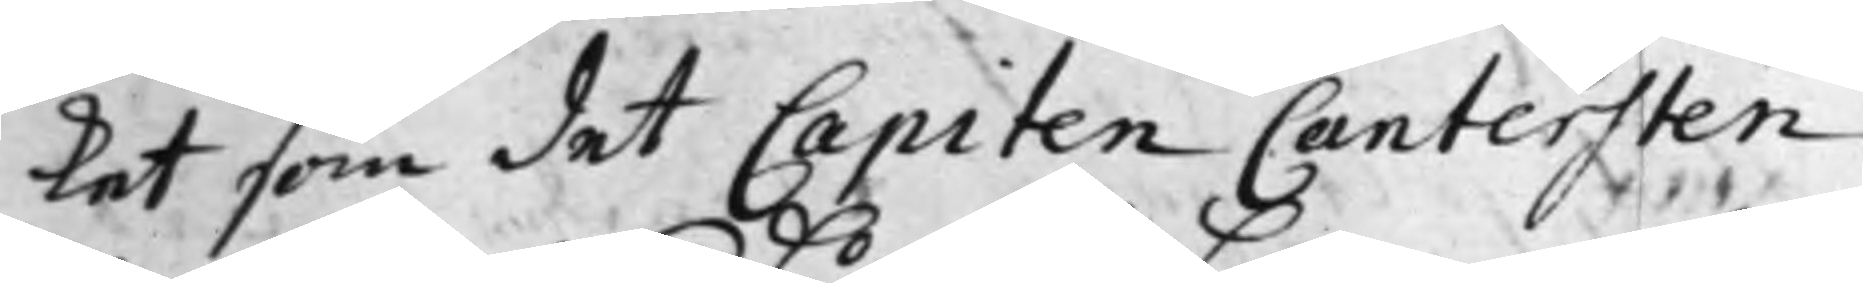ket som det Capiten Cantersten
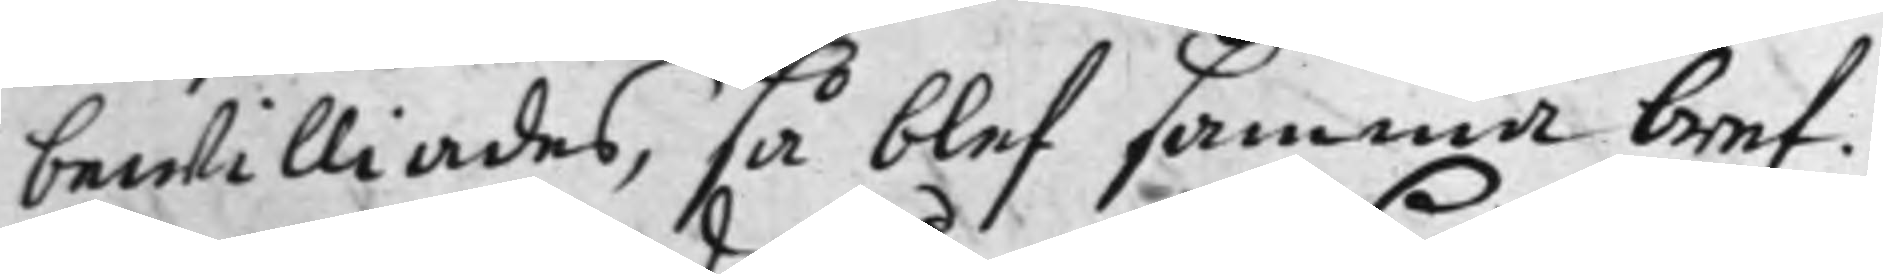bewilliades, så blef samma bref
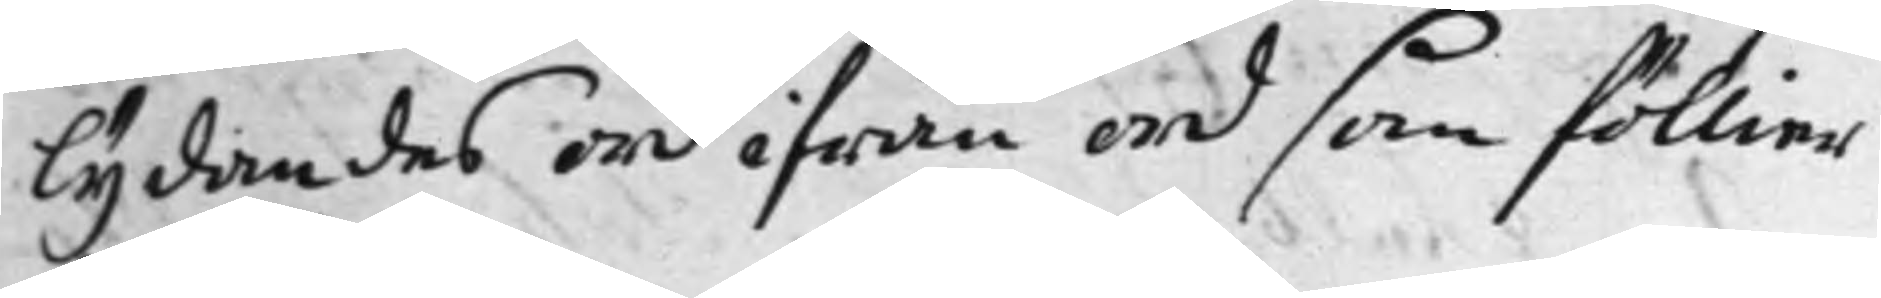lydandes ord ifrån ord som föllier
